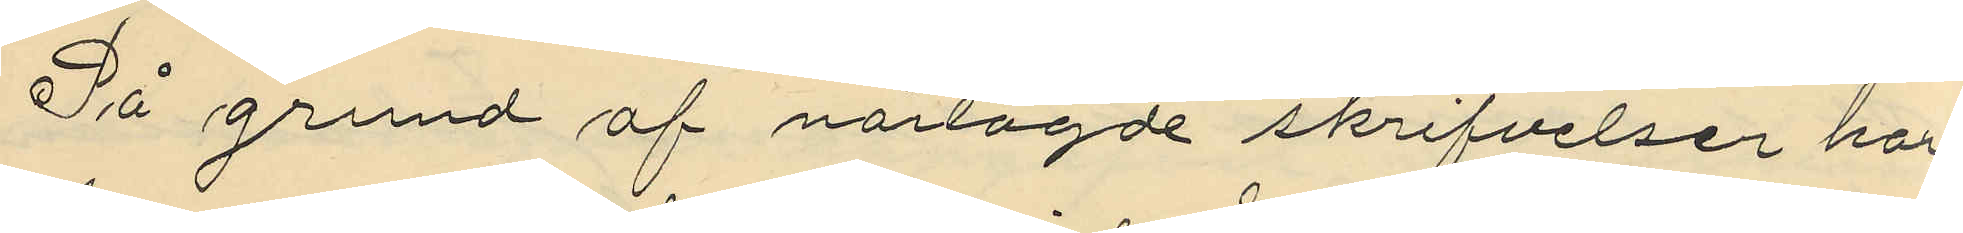På grund af närlagde skrifvelser har
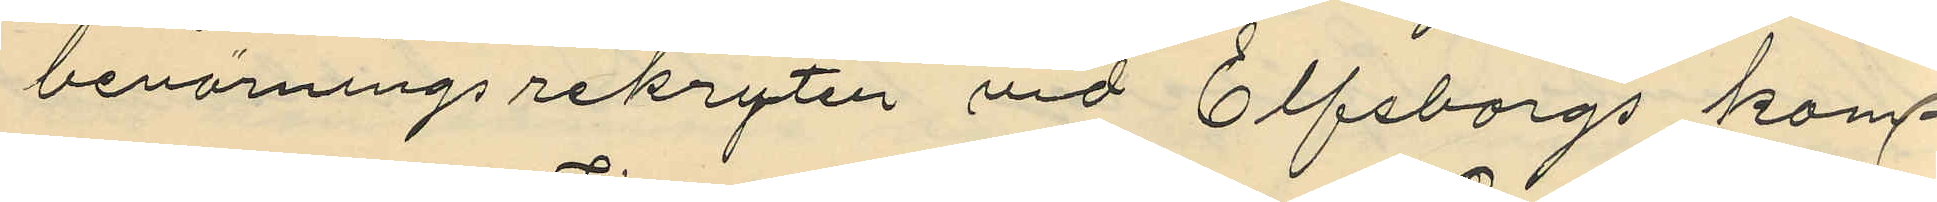bevärningsrekryten vid Elfsborgs kom¬
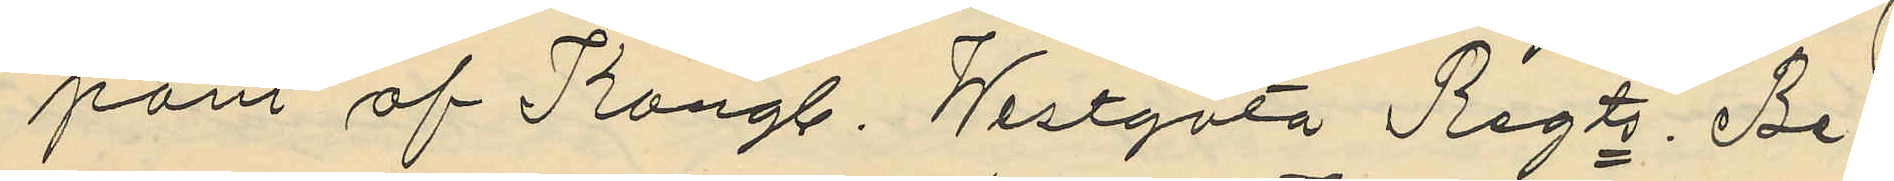pani af Kongl. Westgöta Regts Be¬
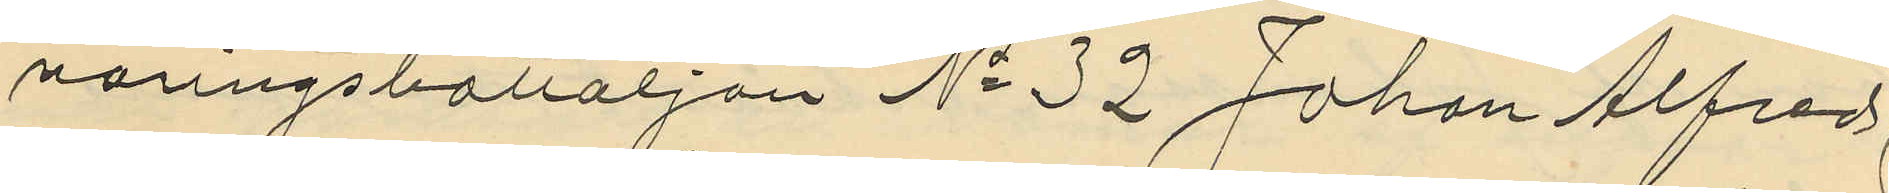väringsbattaljon No 32 Johan Alfred
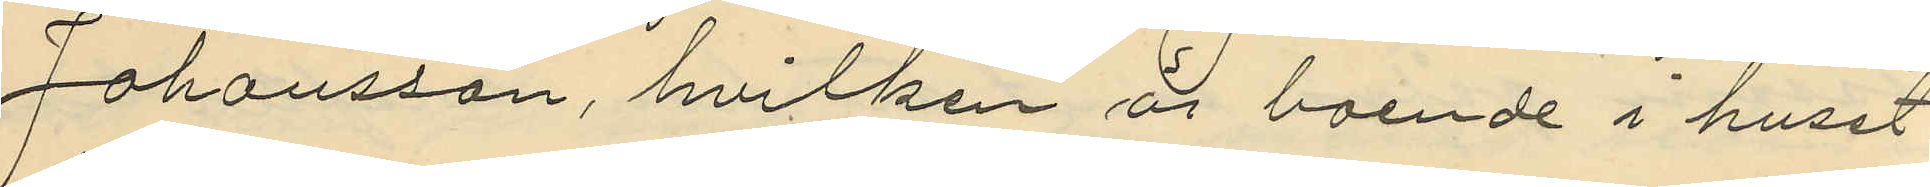Johansson, hvilken är boende i huset
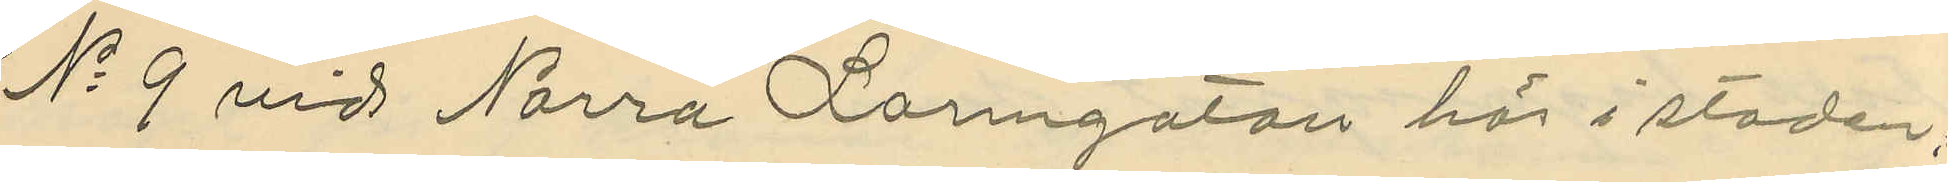No 9 vid Norra Larmgatan här i staden,
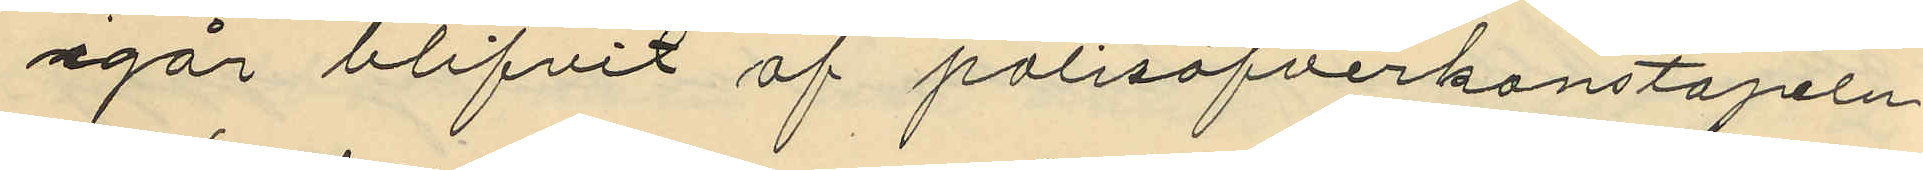igår blifvit af polisöfverkonstapeln
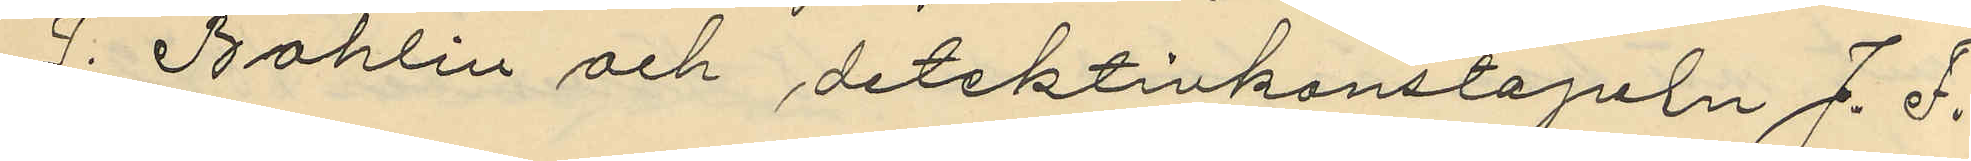J. Bohlin och detektivkonstapeln J. F.
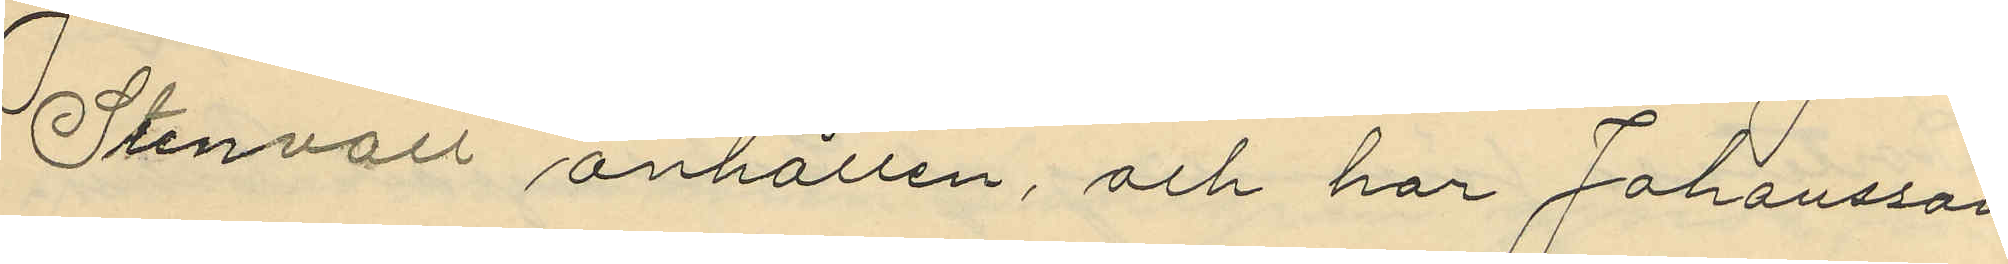Stenvall anhållen, och har Johansson
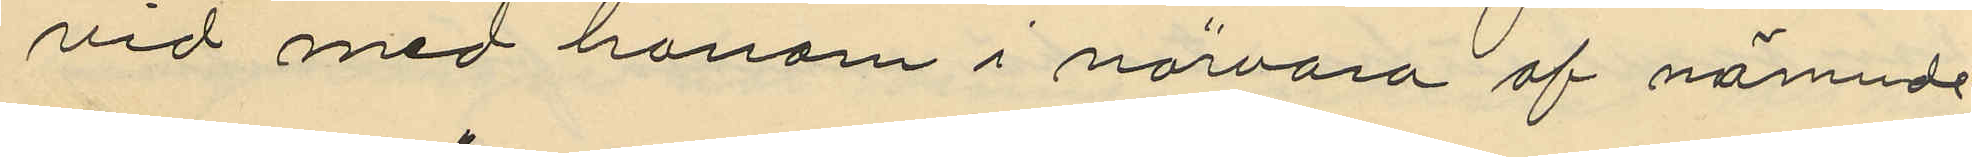vid med honom i närvaro af nämnde
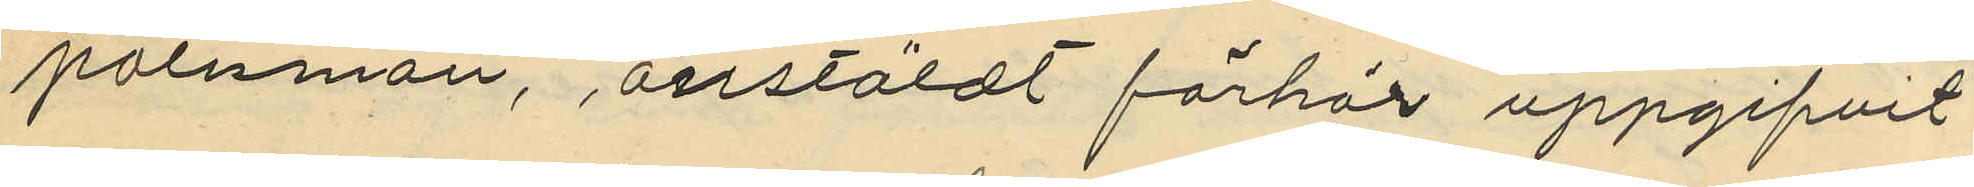polismän, anstäldt förhör uppgifvit
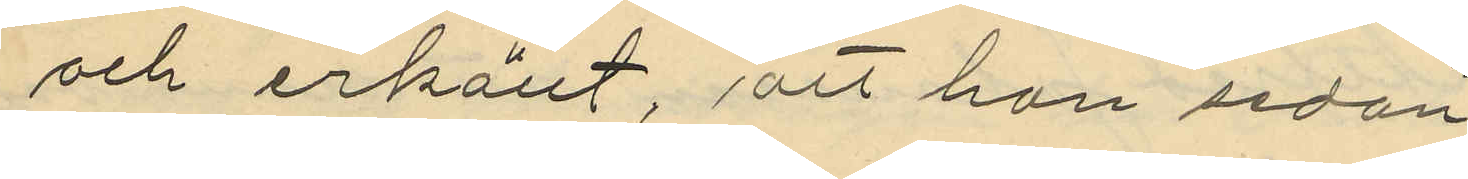och erkänt, att han sedan
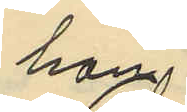han
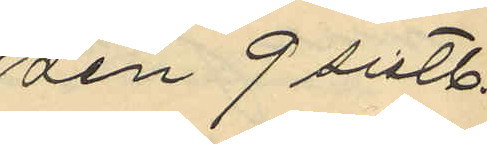den 9 sistl.
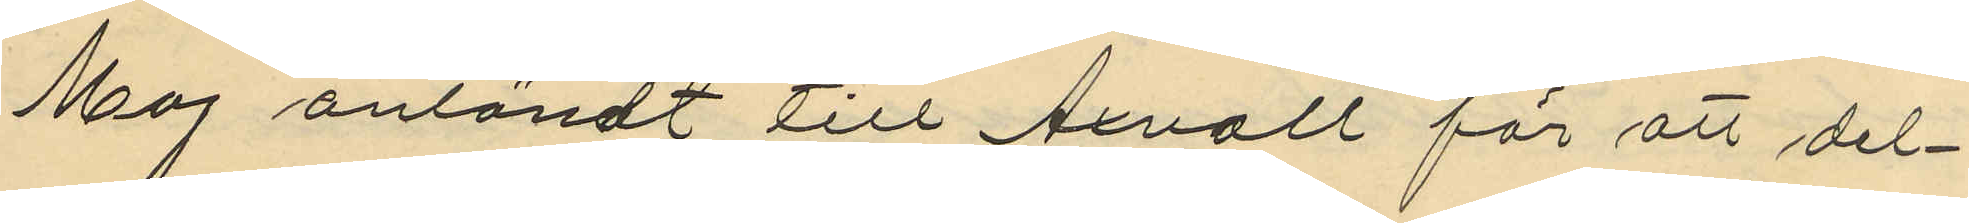Maj anländt till Axvall för att del¬
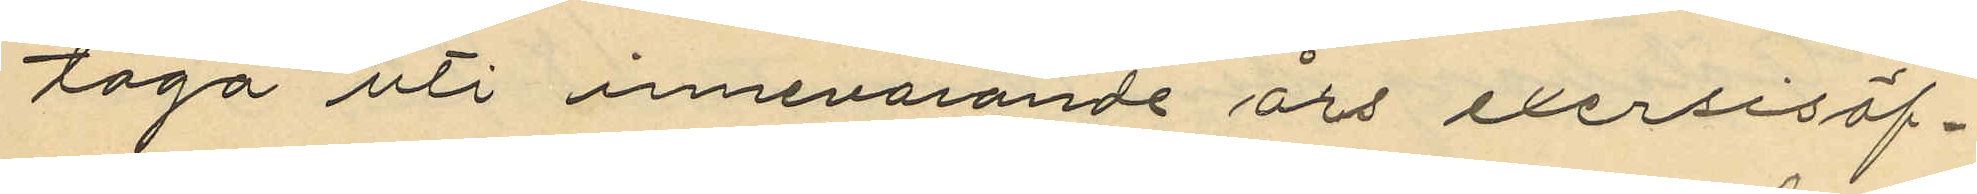taga uti innevarande års exersisöf¬
